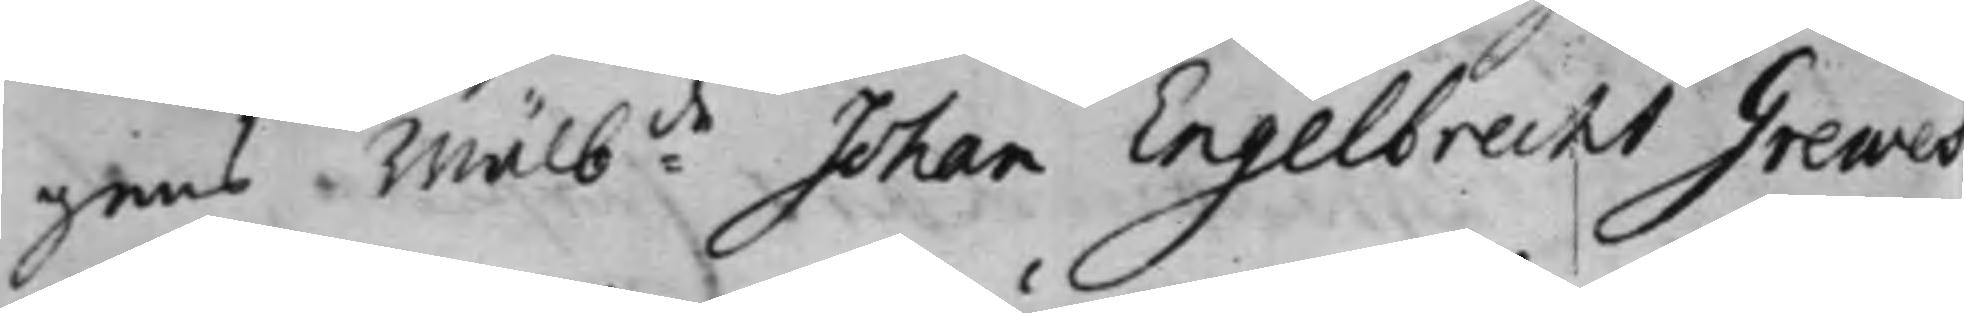gens Wälb:de Johan Engelbrecht Grewes¬
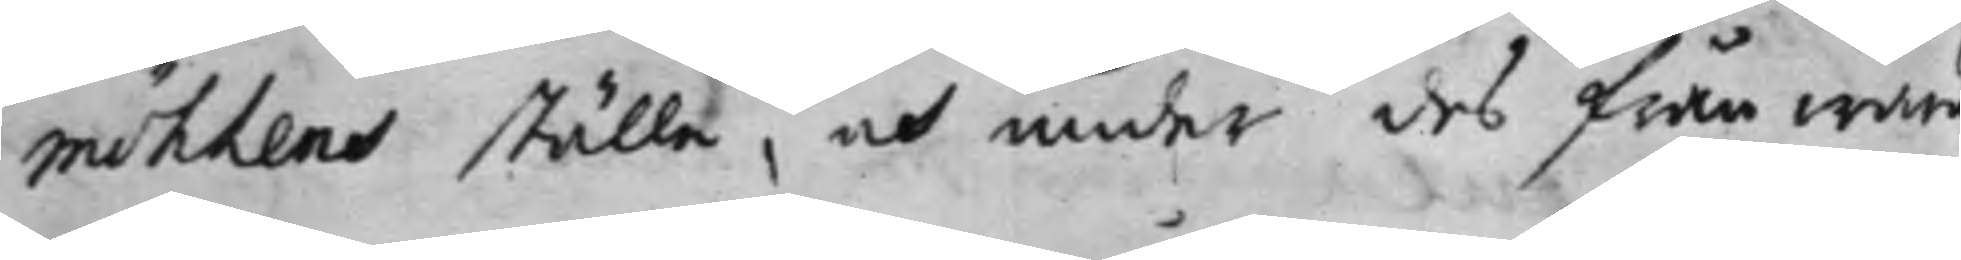möhlens ställe, och under des frånwaro
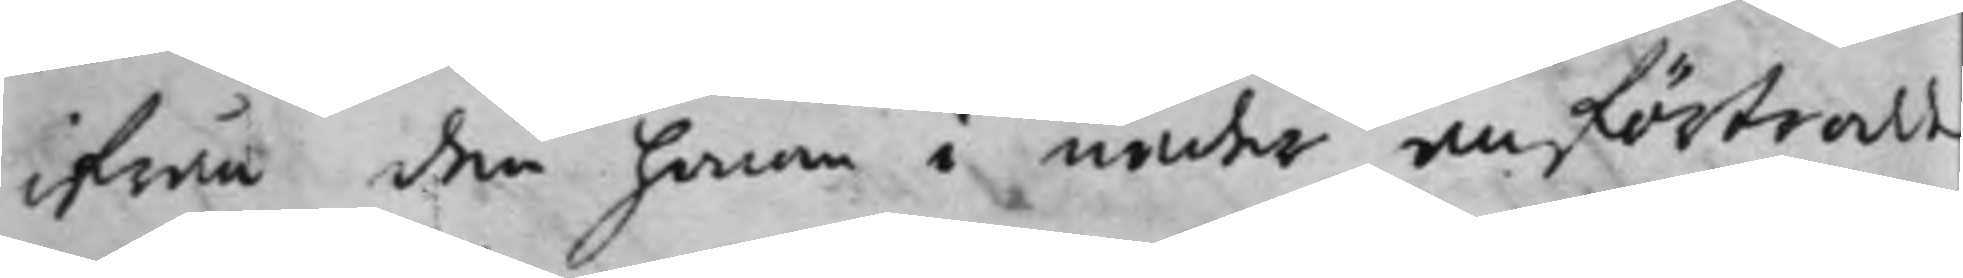ifrån den honom i nåder anförtrodde
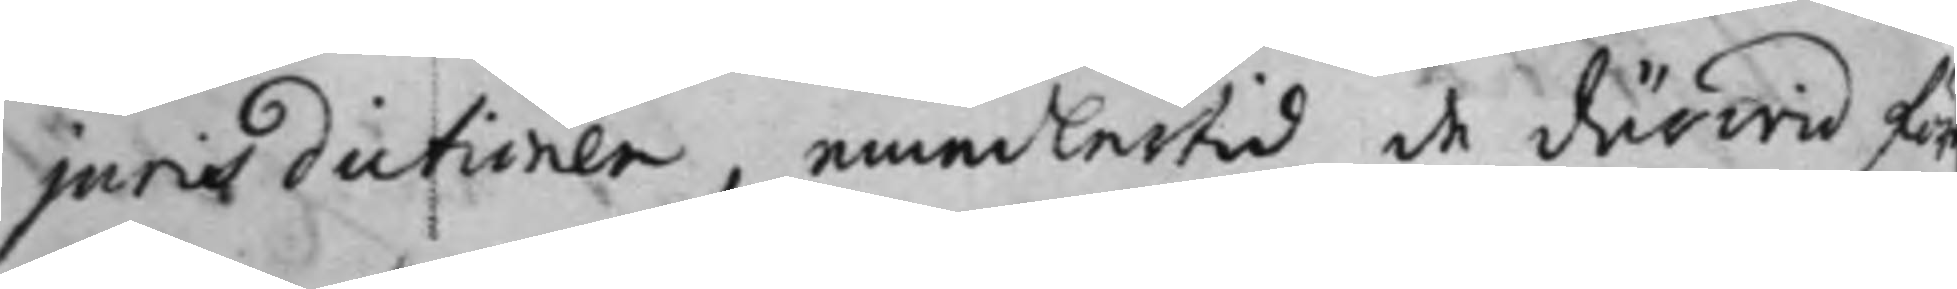jurisdictionen, emedlertid de därwid för¬
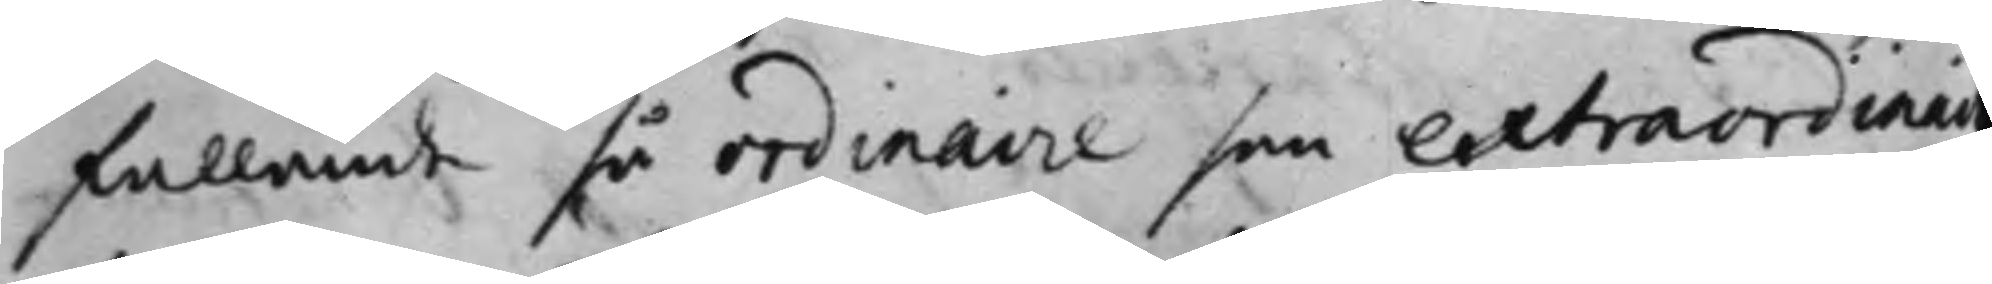fallande så ordinarie som extraordinar
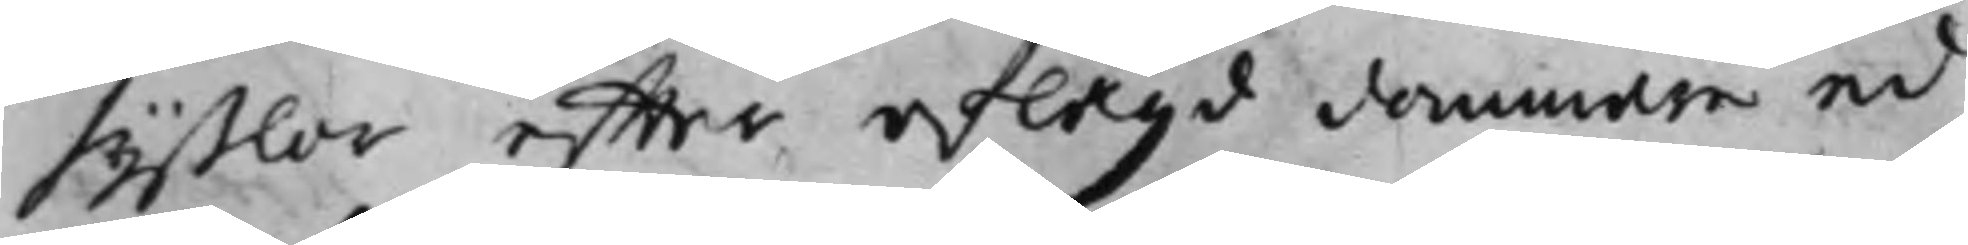syßlor effter aflagd dommare ed
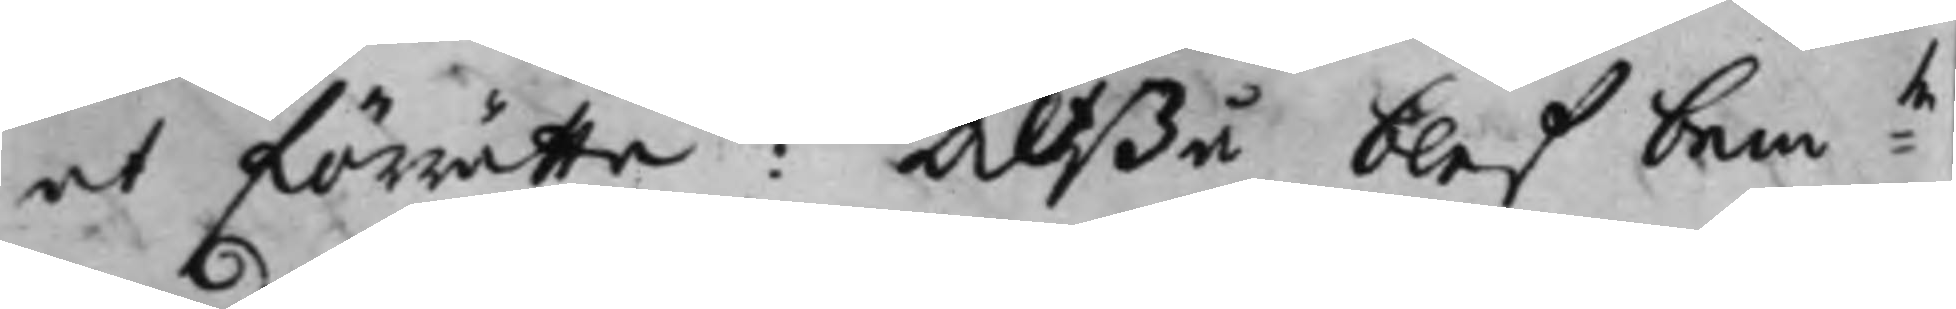at förrätta: Altßå blef bem:te
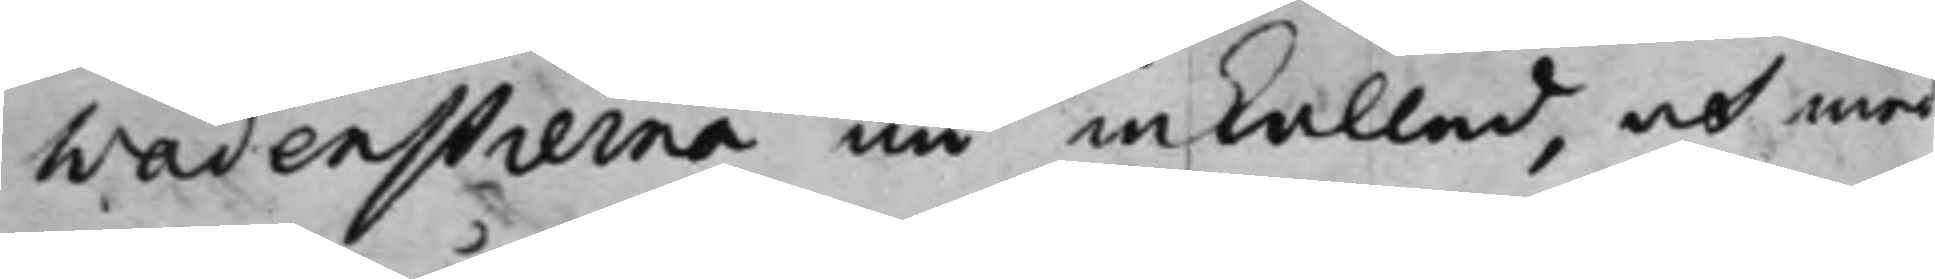Wadenstierna nu inkallad, och med
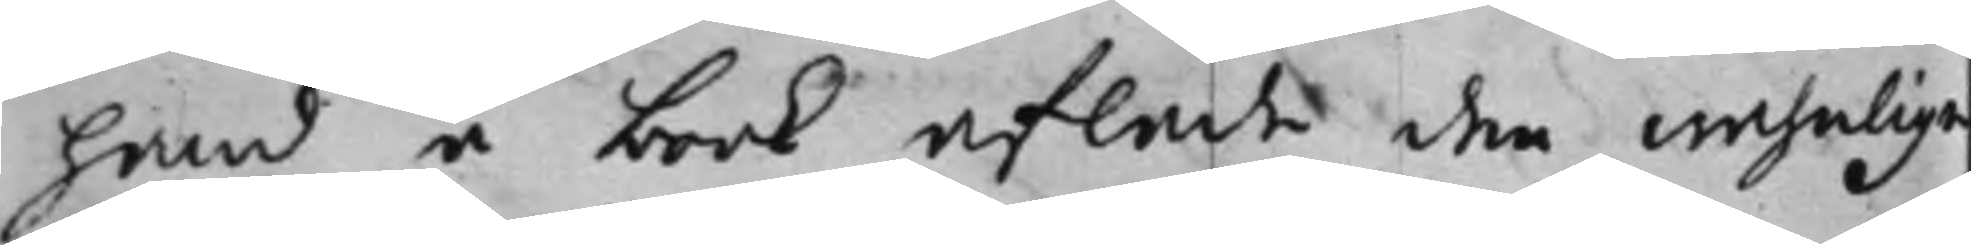hand å book aflade den wahnliga
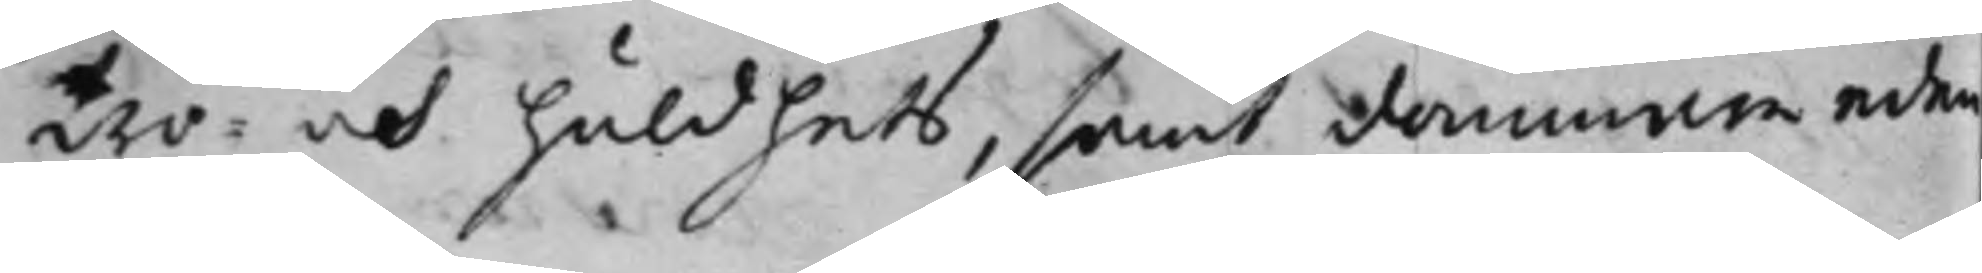tro¬ och huldhets, samt dommare eden
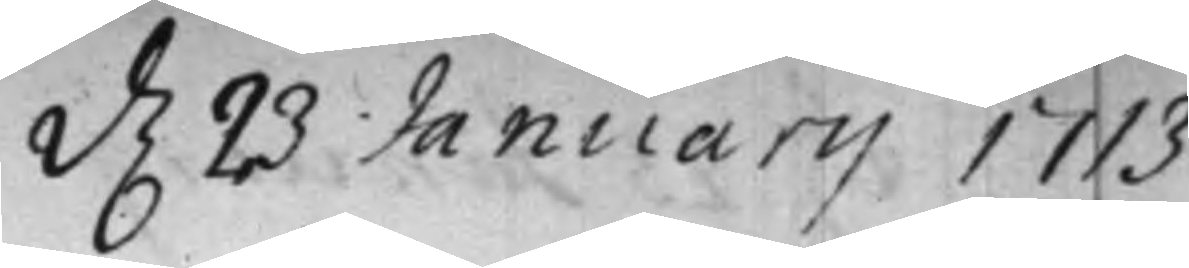d. 23 Januarij 1713
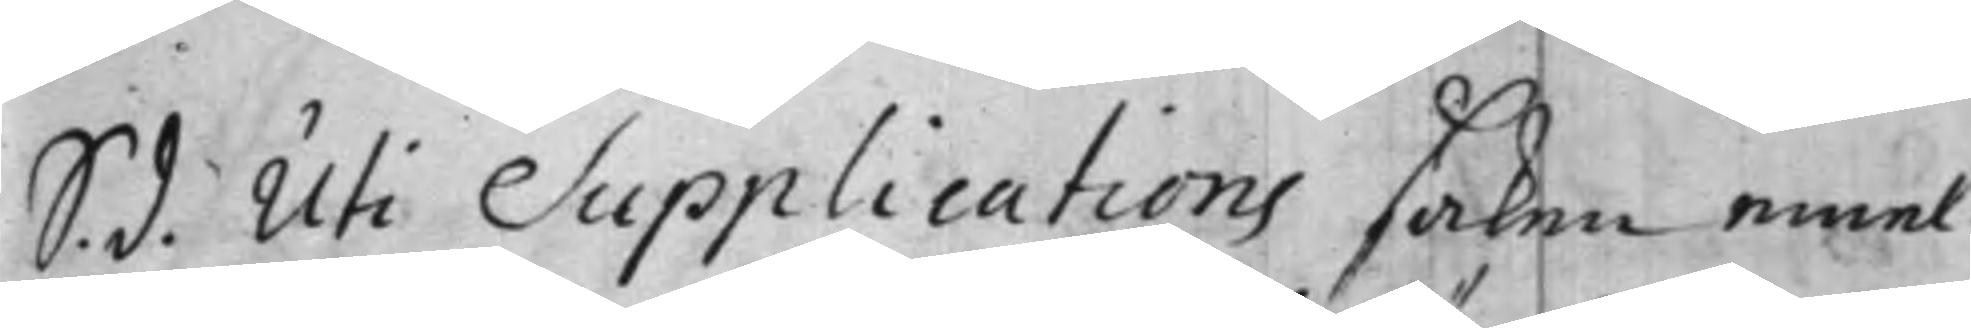S. d. Uti Supplications saken emel¬
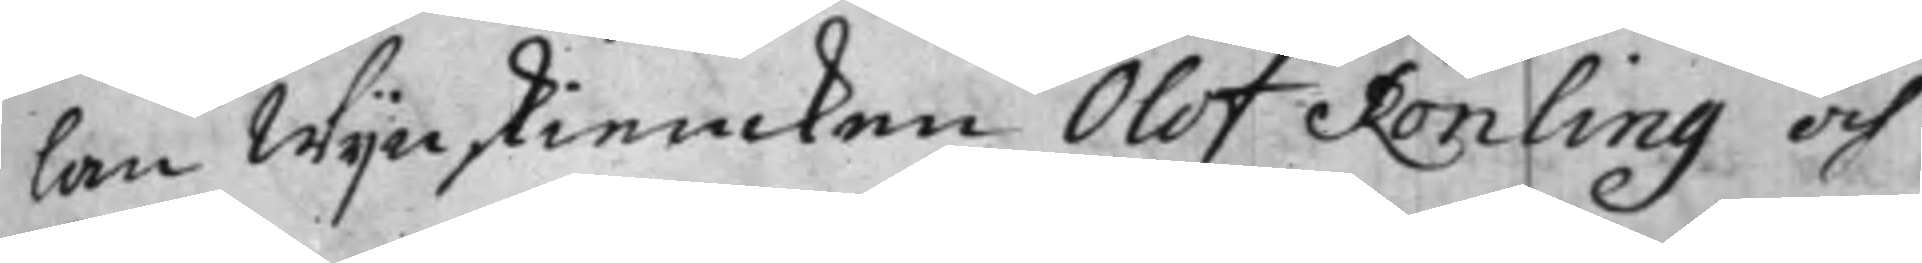lan Wijnskiencken Olof Rönling och
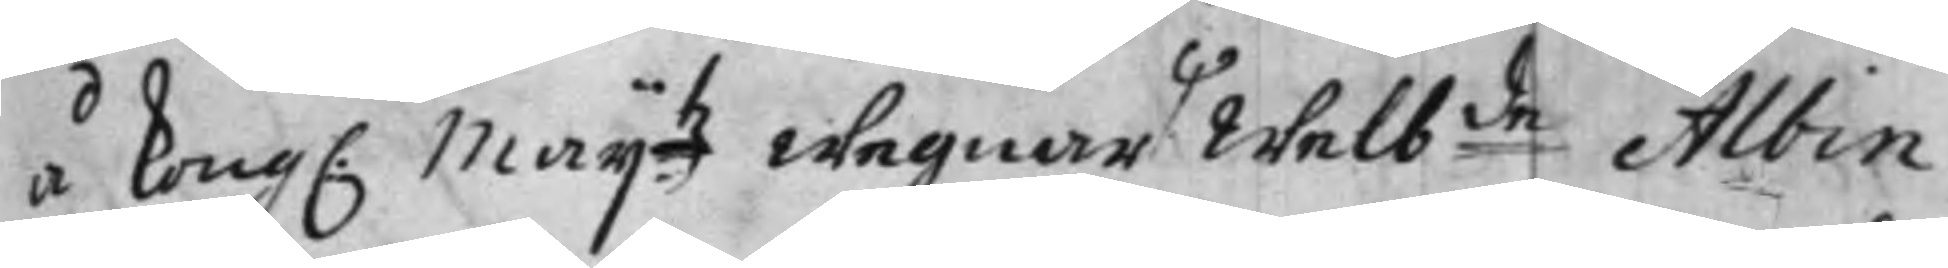å Kong. Maij:tz wegnar Ψ Welb:de Albin
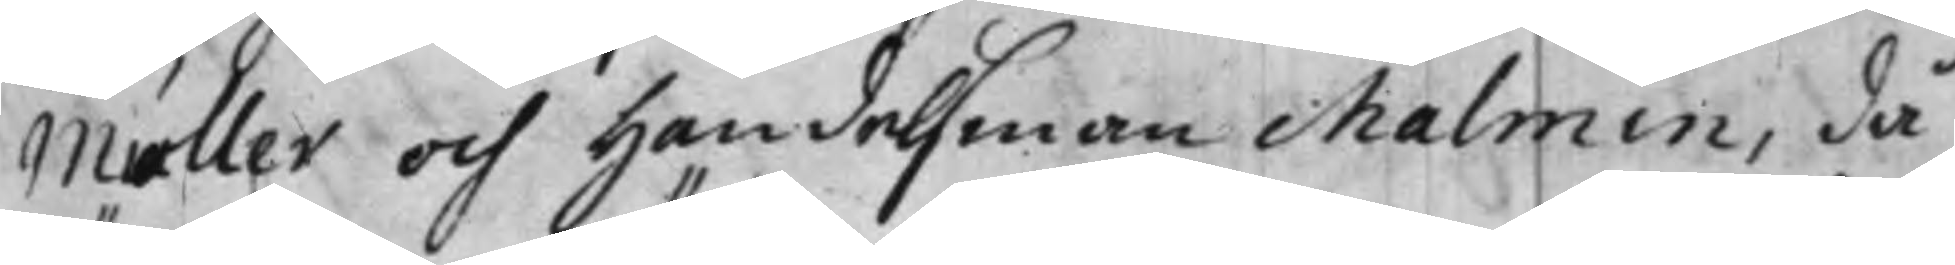Müller och Handelsman Malmin, då/
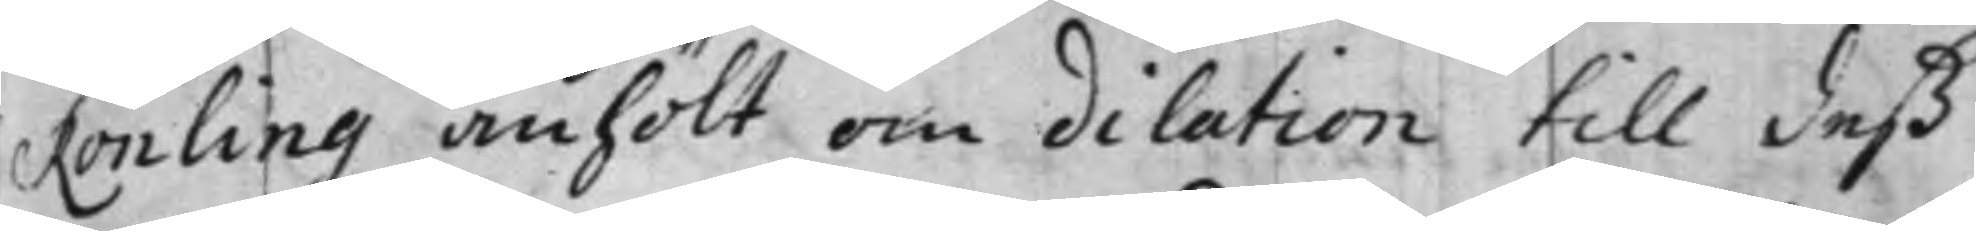Rönling anhölt om dilation till deß
